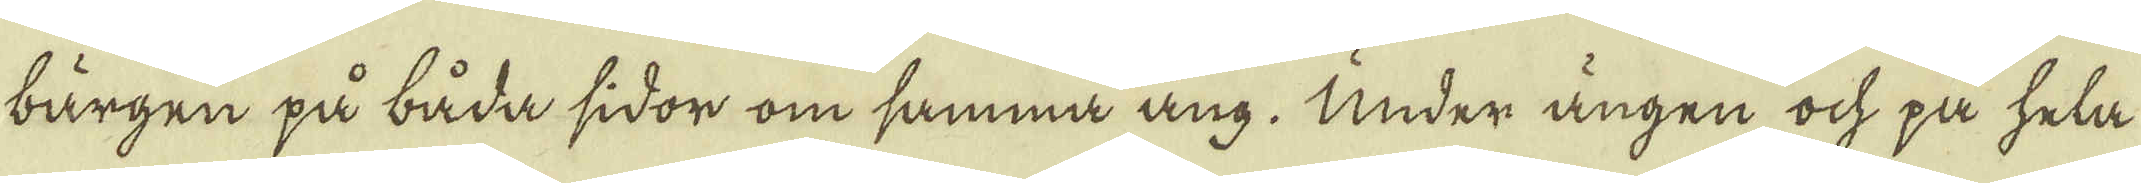bärgen på båda sidor om samma ång. Under ängen ock på hela
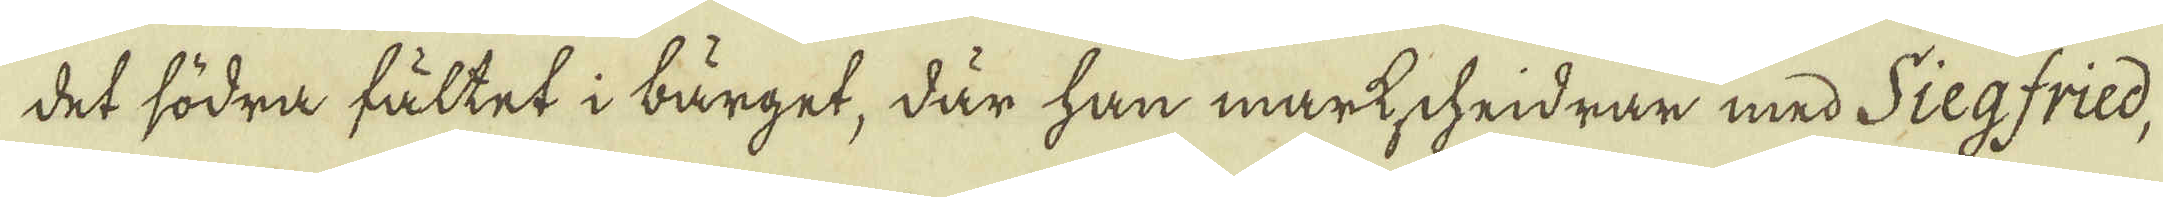det södra fältet i bärget, där han markschridrar med Siegfried,
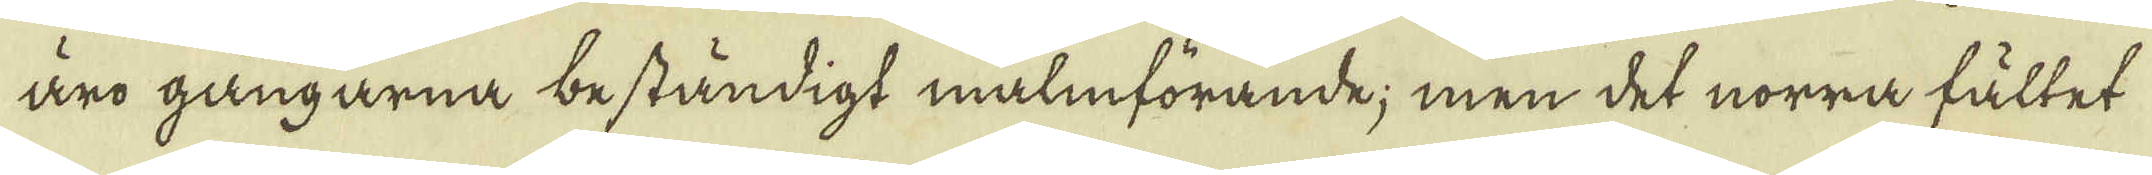äro gångarna beständigt malmförande; men det norra fältet
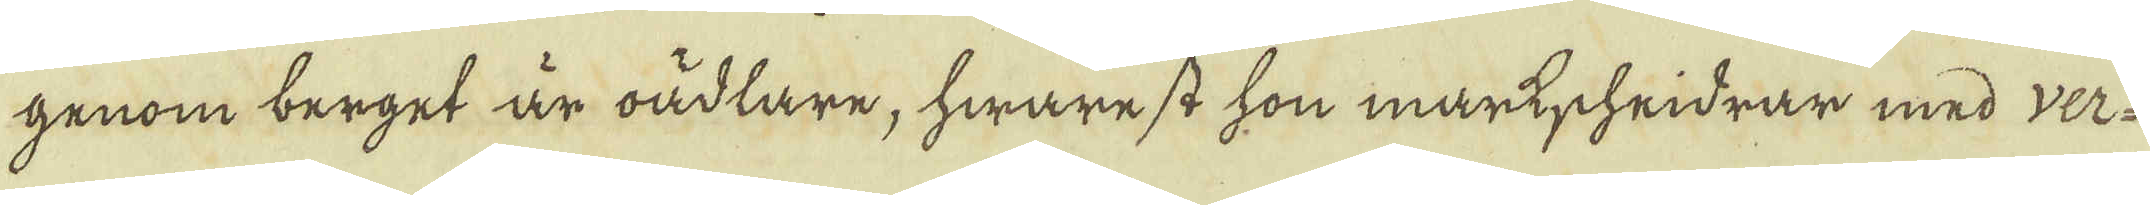genom berget är oädlare, hwarest hon markscheidrar med ver-
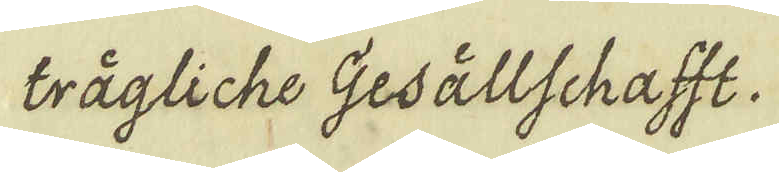trägliche Gesällschafft.
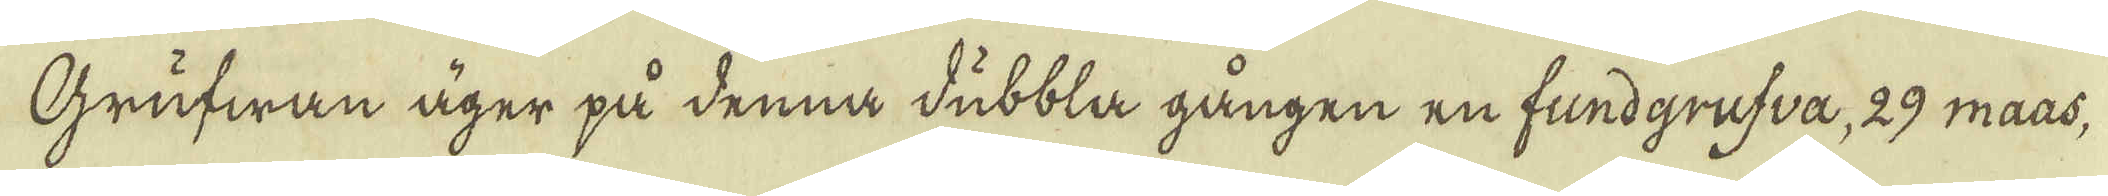Grufwan äger på denna dubbla gången en fundgrufva, 29 maas,
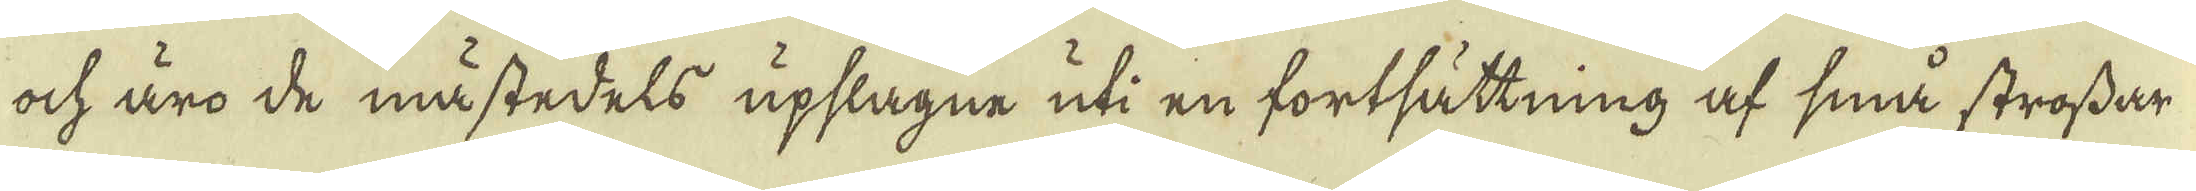och äro de måstedels upslagne uti en fortsättning af små strossar
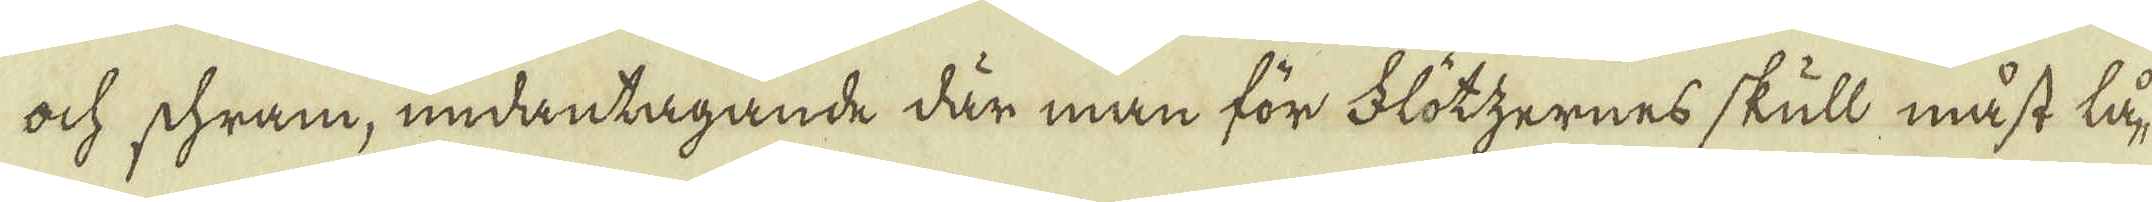och schram, undantagande där man för Flötzernes skull måst lå-
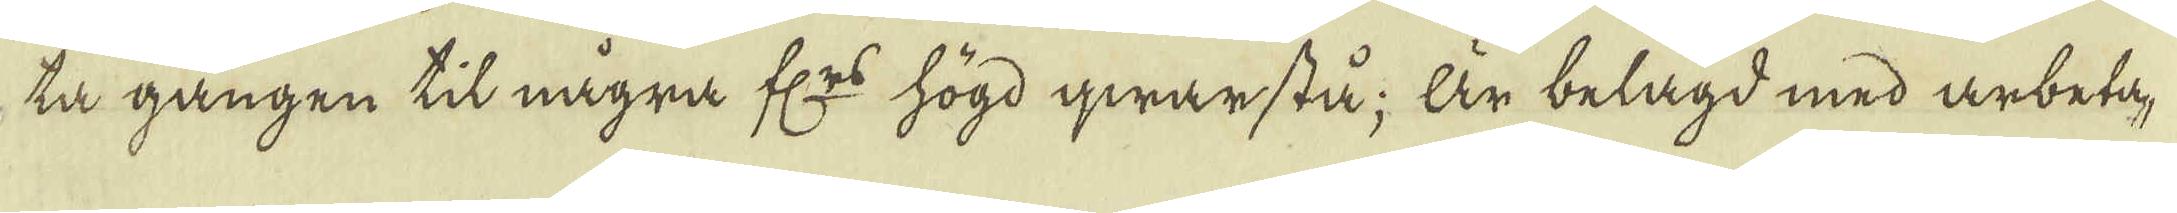ta gången til några fl:rs högd qwarstå; Är belagd med arbeta-
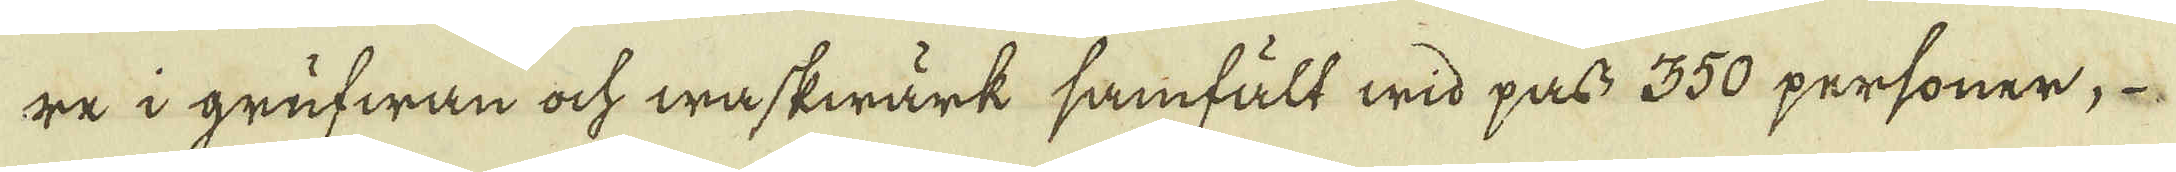re i grufwan ock waskwärk samfält wid pass 350 personer,
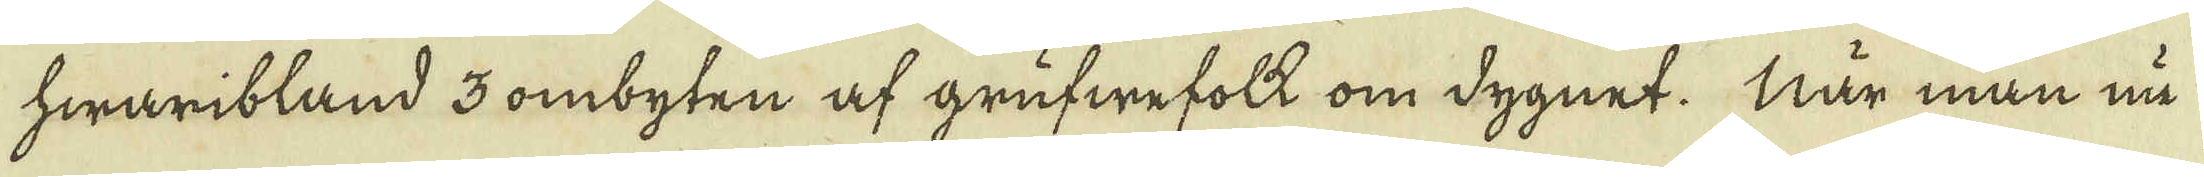hwaribland 3 ombyten af grufwefolk om dygnet. När man nu
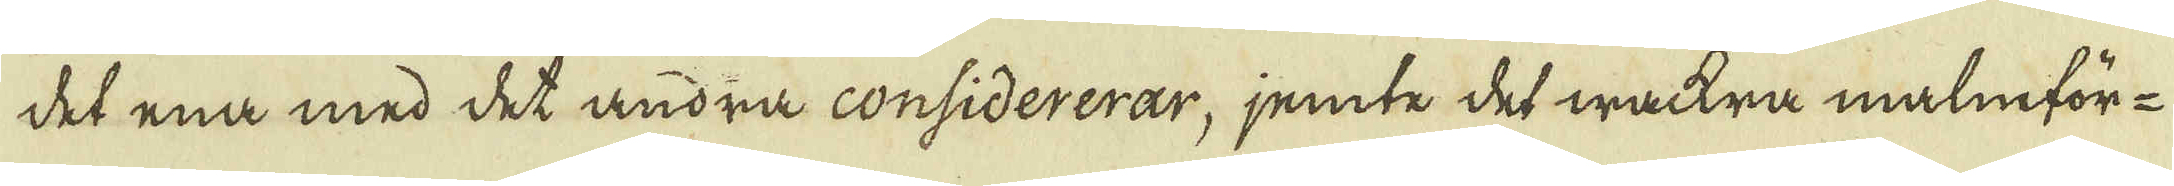det ena med det andra considererar, jemte det wackra malmför-
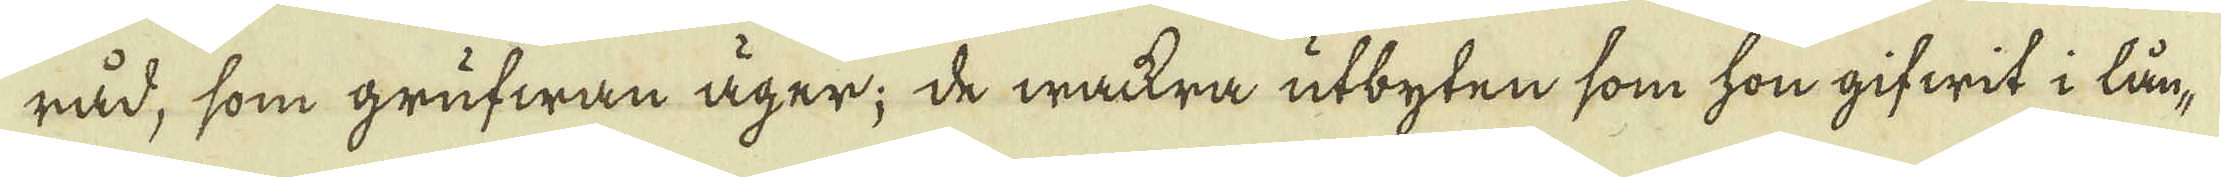råd, som grufwan äger; de wackra utbyten som hon gifwit i lån-
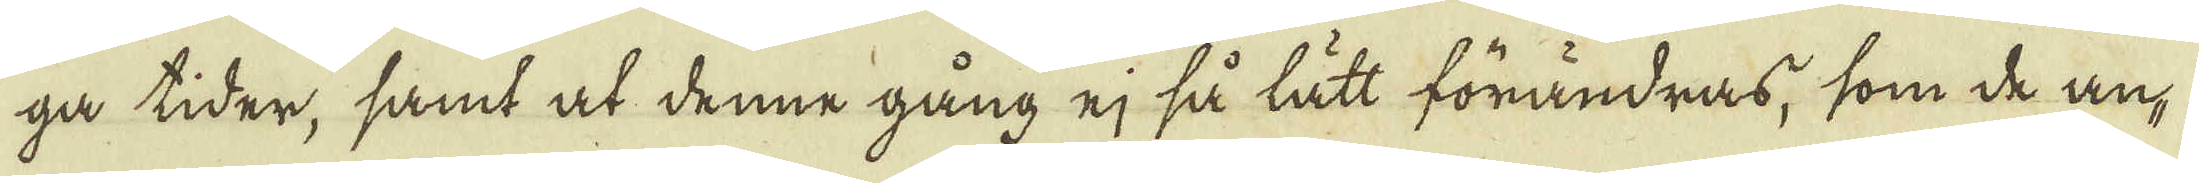ga tider, samt at denne gång ej så lätt förändras, som de an-
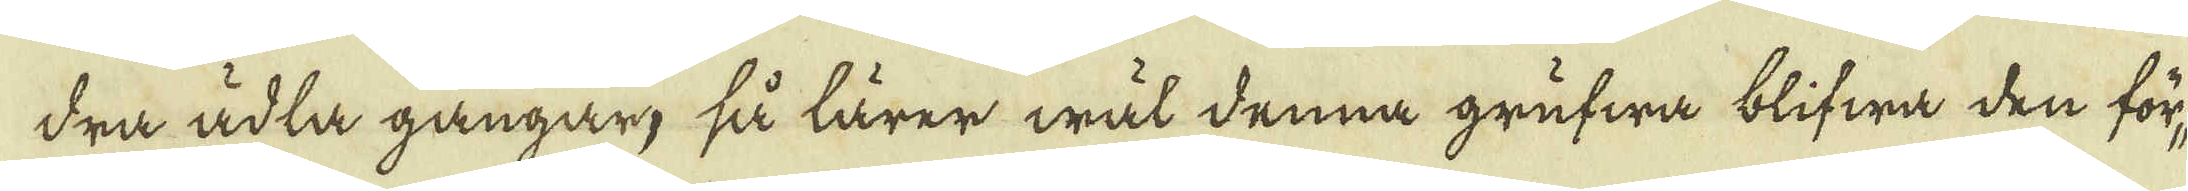dra ädla gångar, så lärer wäl denna grufwa blifwa den för-
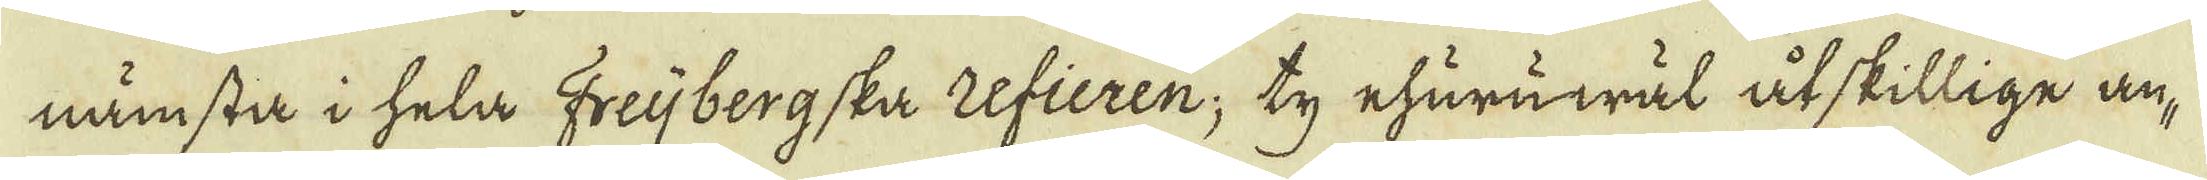nämsta i hela Freijbergska refieren; ty ehuruwäl åtskillige an-
